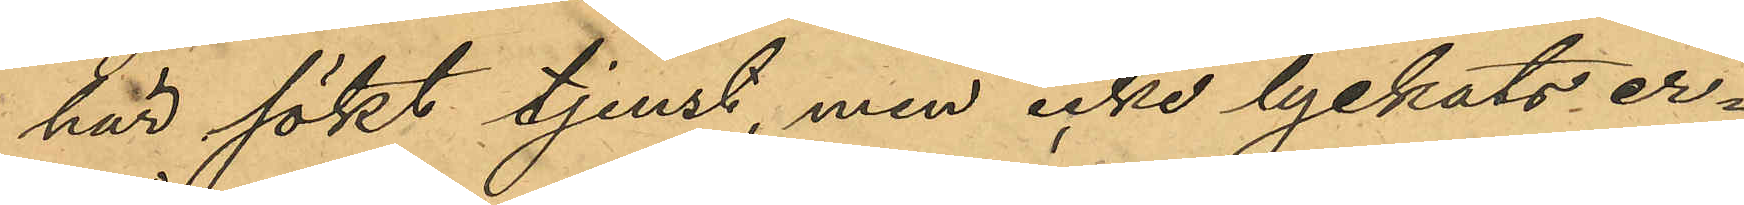här sökt tjenst, men icke lyckats er¬
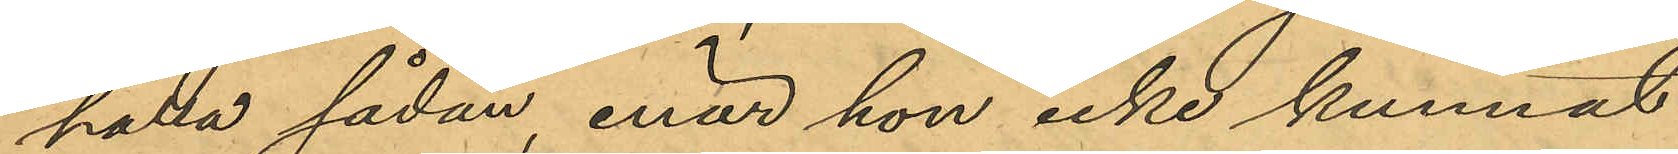hålla sådan, enär hon icke kunnat
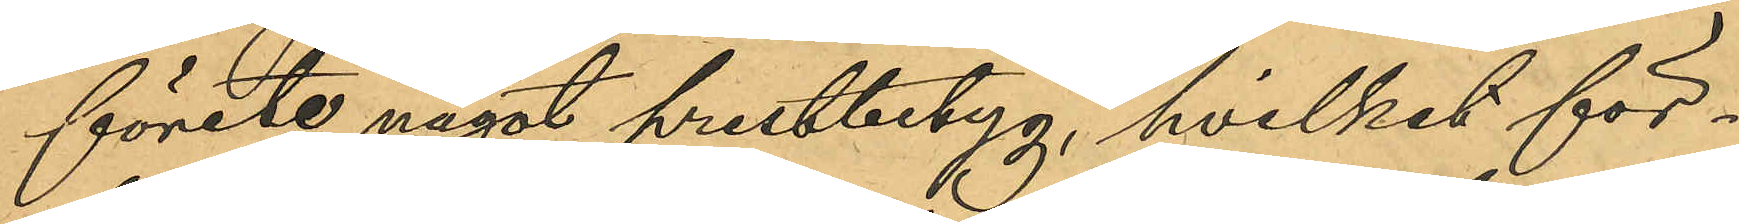förete något prestbetyg, hvilket för¬
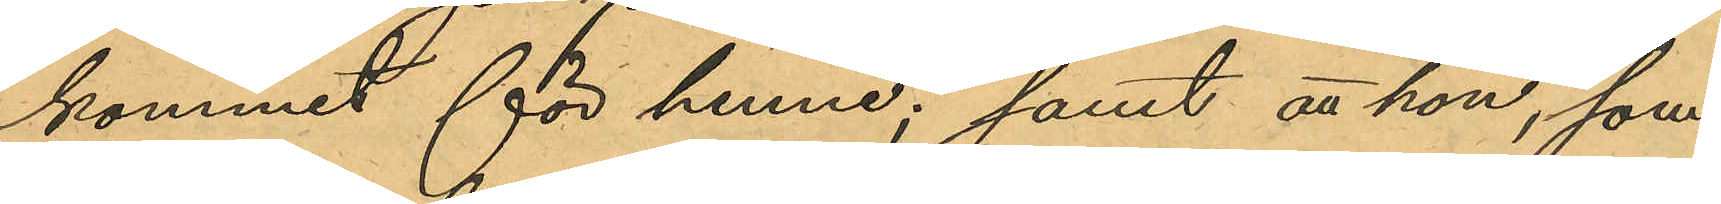kommit för henne; samt att hon, som
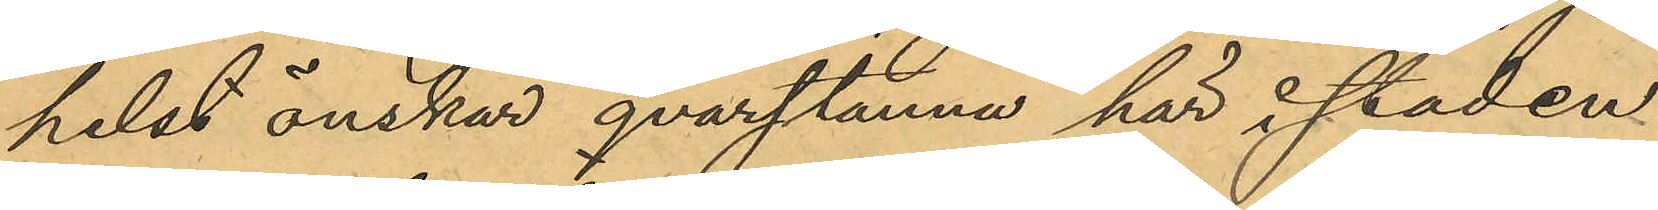helst önskar qvarstanna här i staden.
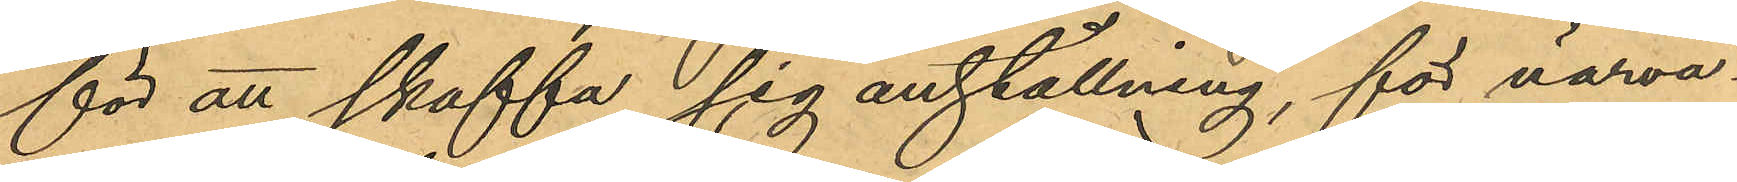för att skaffa sig anställning, för närva¬
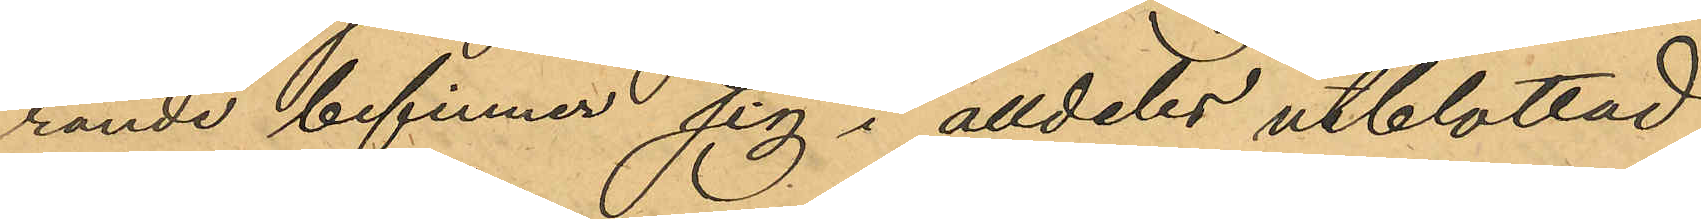rande befinner sig i alldetes utblottad
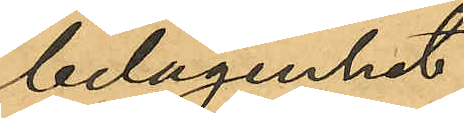belägenhet.
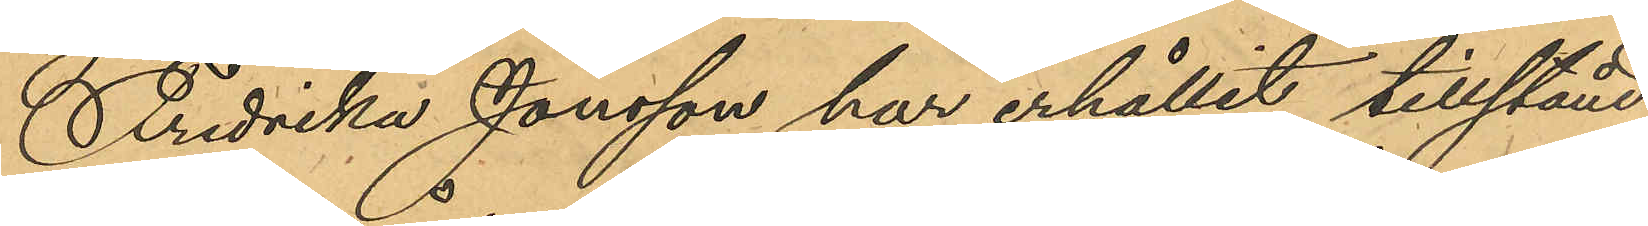Fredrika Jonsson har erhållit tillstånd
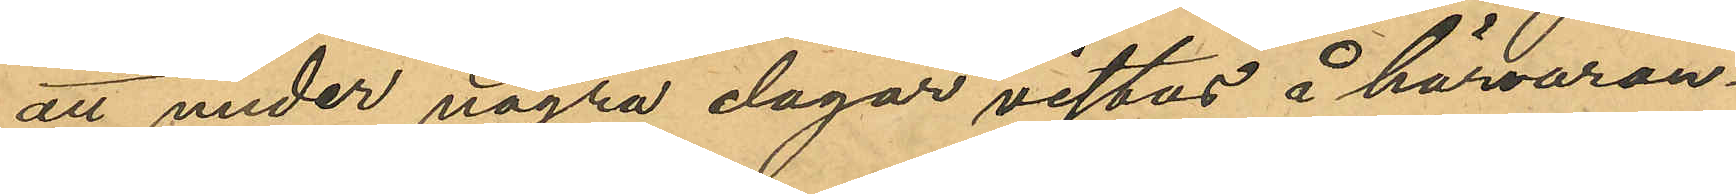att under några dagar vistas å härvaran¬
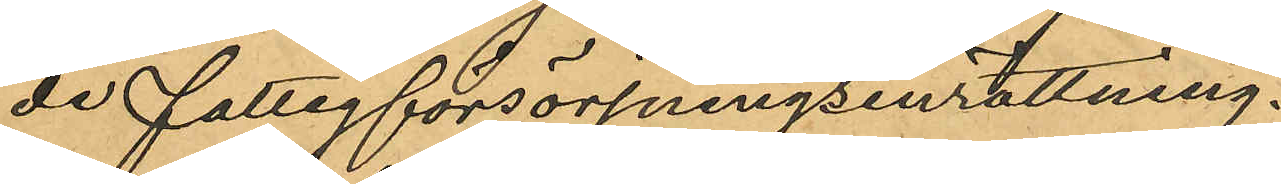de fattigförsörjningsinrättning.
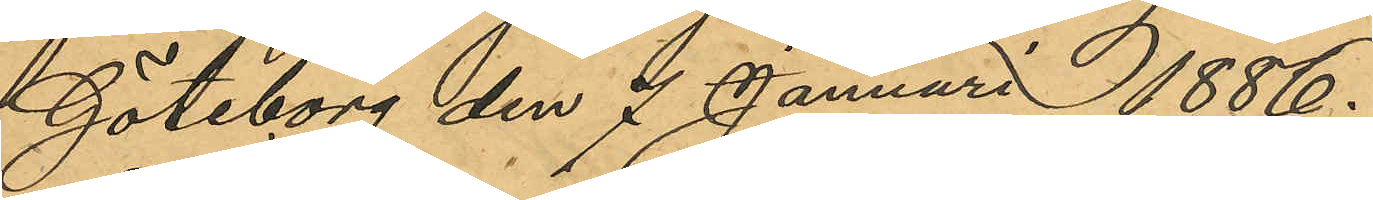Göteborg den 7 Januari 1886.
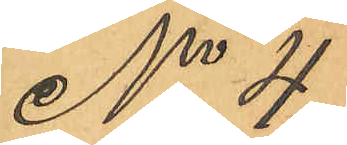No 4
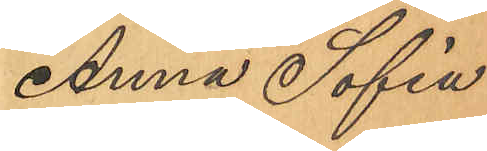Anna Sofia
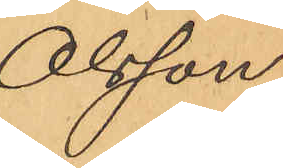Olsson.
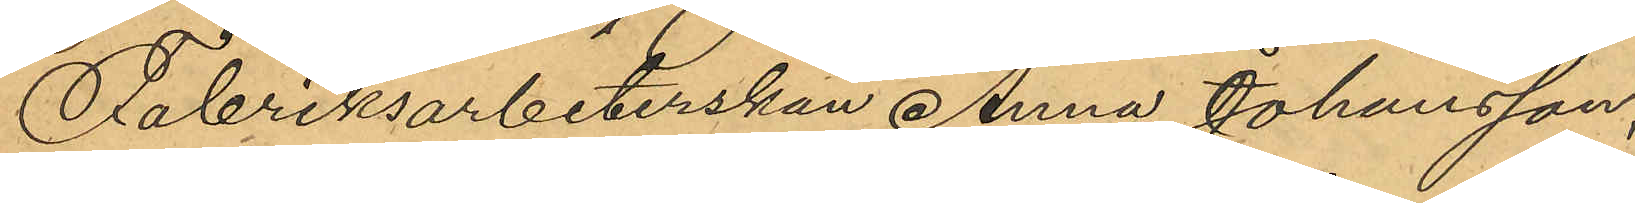Fabriksarbeterskan Anna Johansson,
